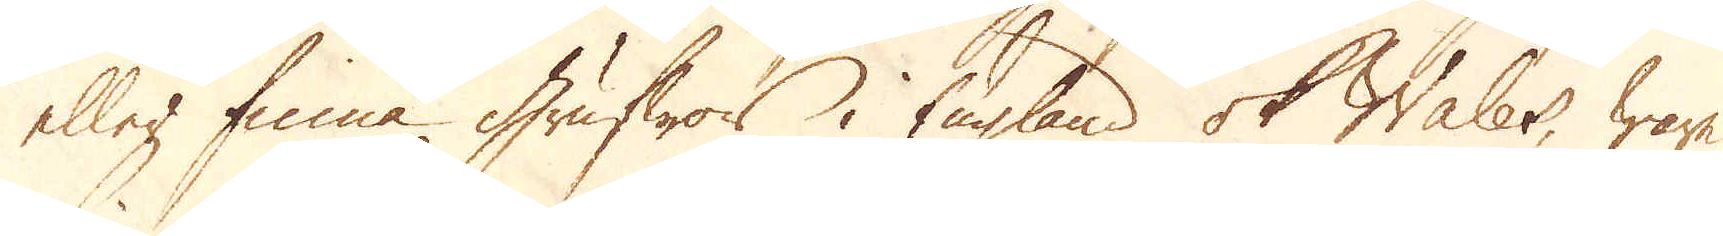eller finna grufwor i England ok Wales, ware
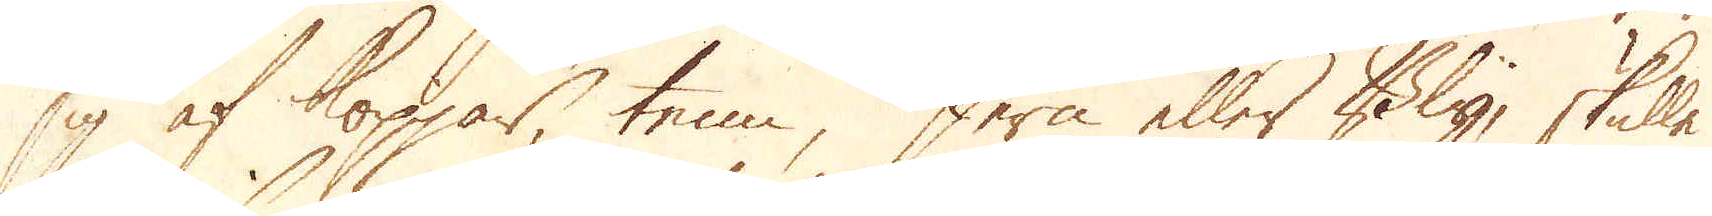sig af koppar, tenn, Jern eller Bly, skulle
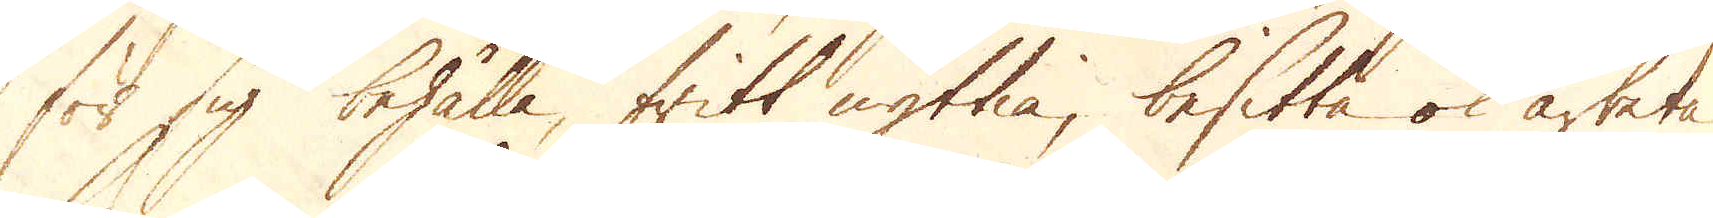för sig behålla, fritt nyttia, besitta ok arbeta
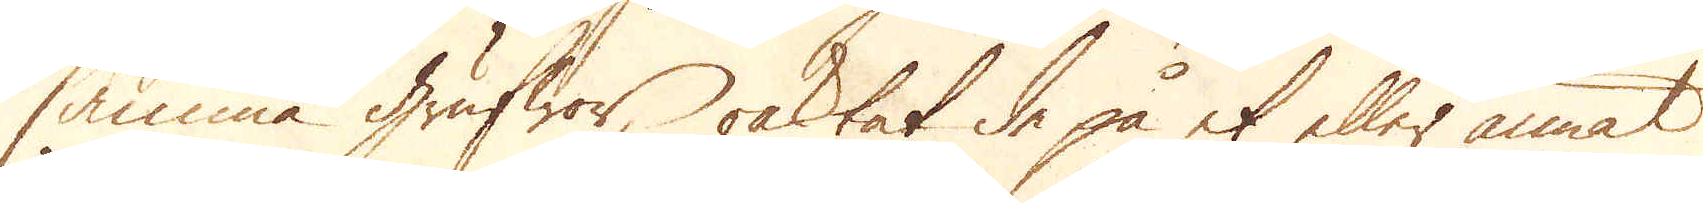samma grufwor, oaktat de på et eller annat
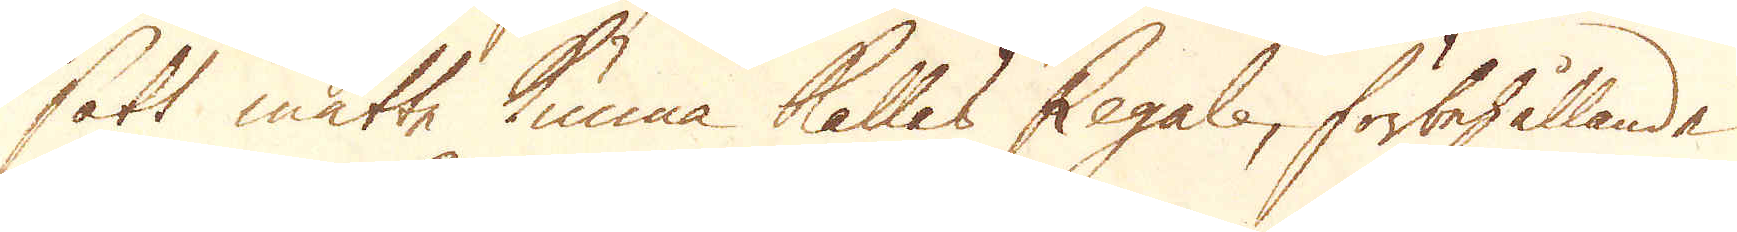sätt måtte kunna kallas Regale, förbehållande
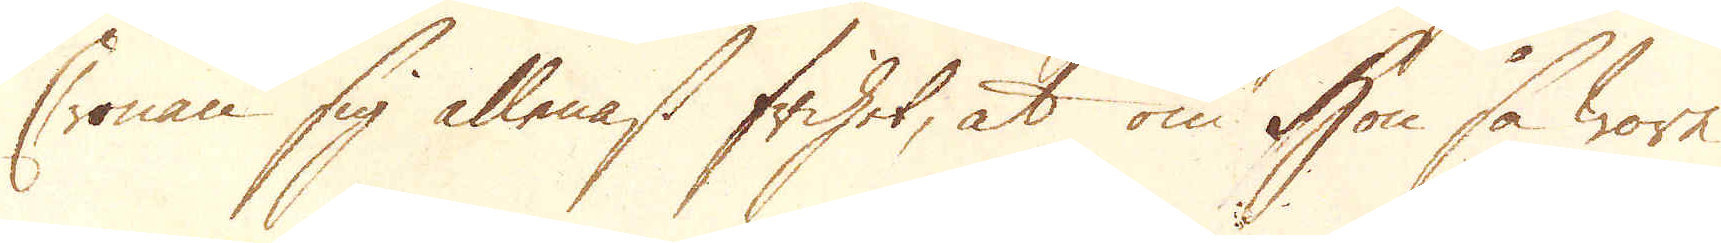Cronan sig allenast frihet, at om hon så wore
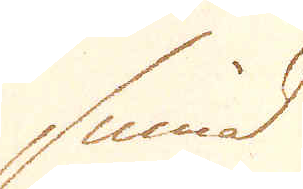sinnad
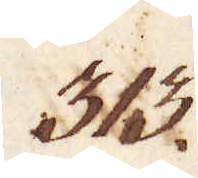313.
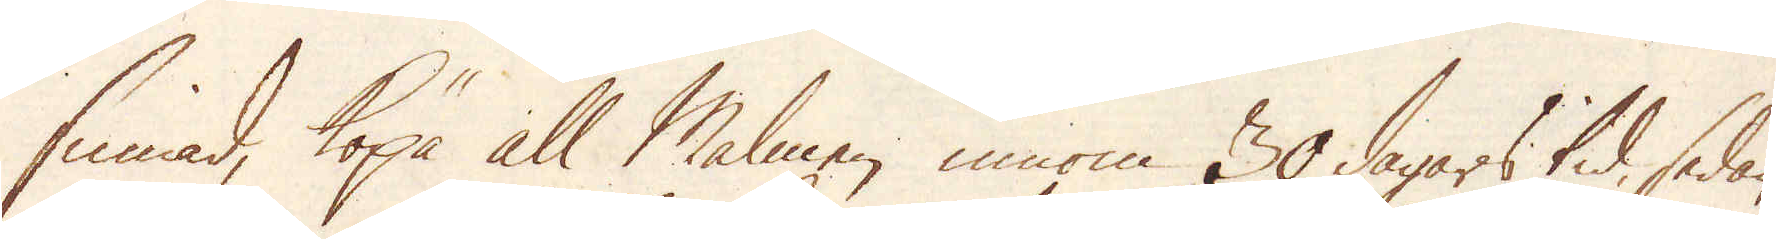sinnad, köpa all Malmen innom 30 dagars tid, sedan
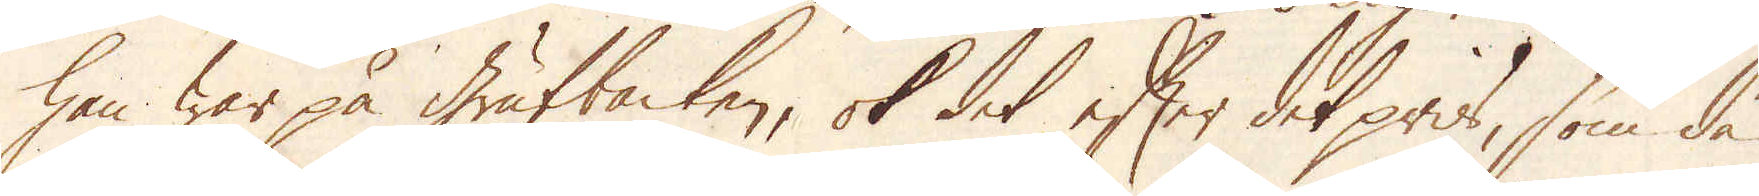han war på grufbacken, ok det efter det pris, som då
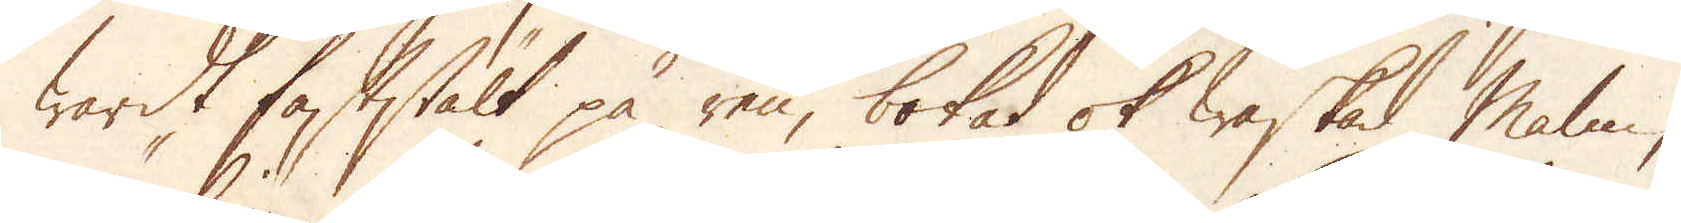wardt faststält på ren, bokad ok waskad malm,
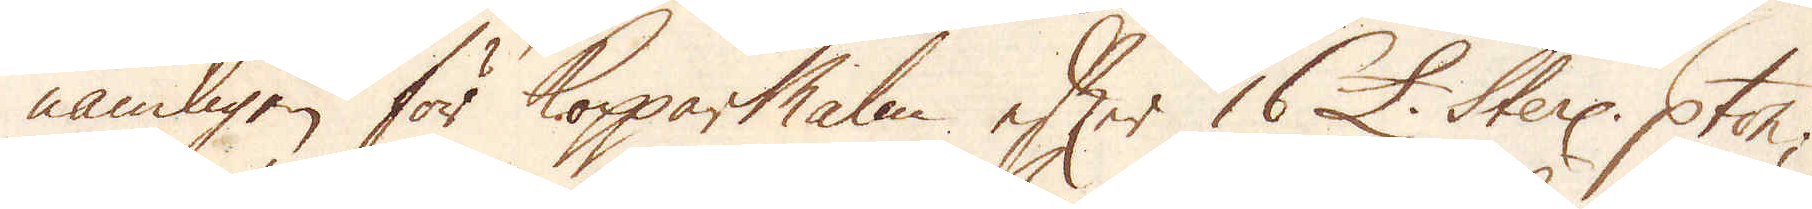nämligen för Kopparmalm efter 16 £. Sterl: p ton;
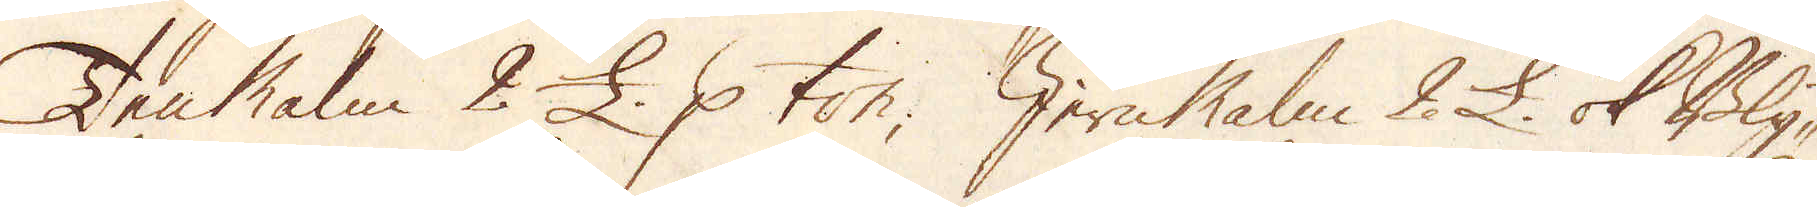TenMalm 2 £. p ton; Jern Malm 2 £ ok Bly-
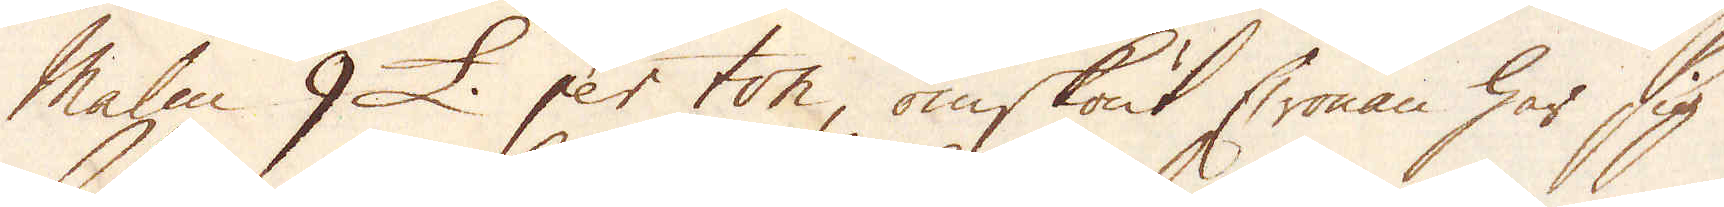Malm 9 £. per ton, omskönt Cronan har sig
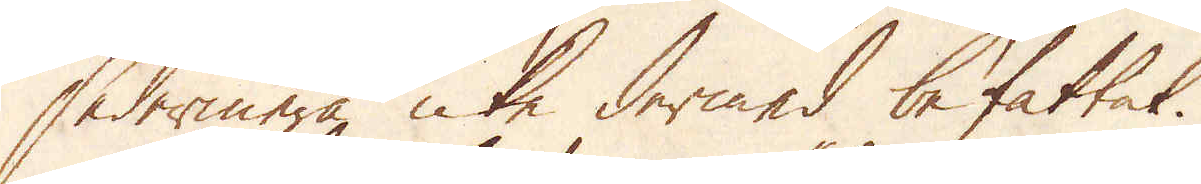sedermera icke dermed befattat.
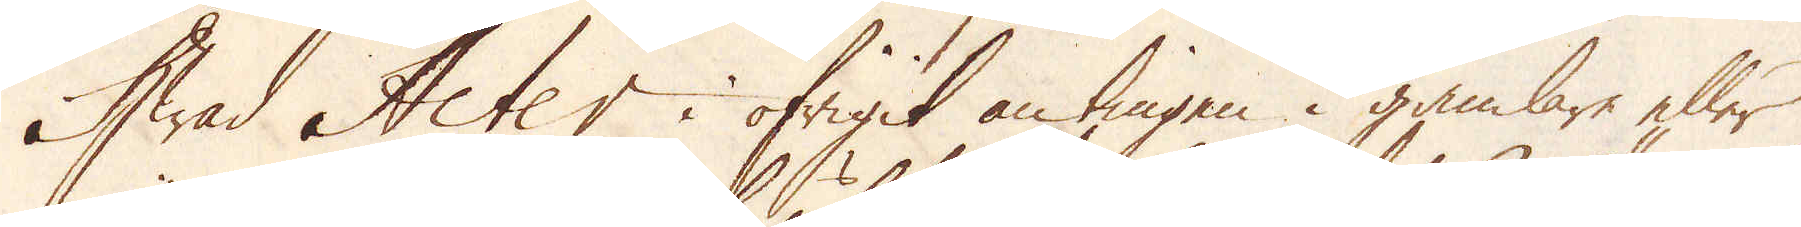Hwad Acter i öfrigit antingen i gamlare eller
